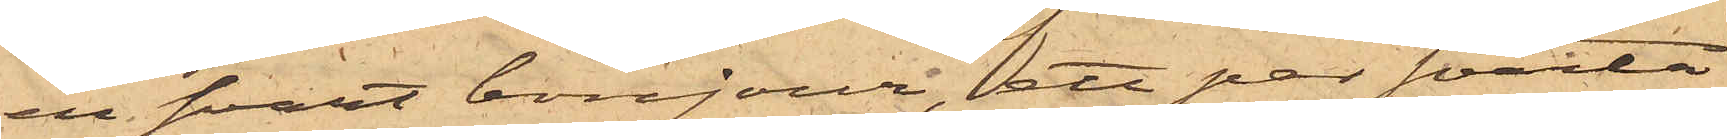en svart bonjour, ett par svarta
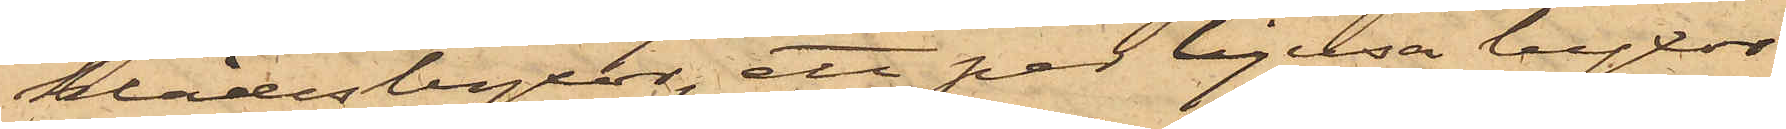klädesbyxor, ett par ljusa byxor
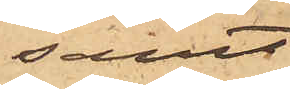samt
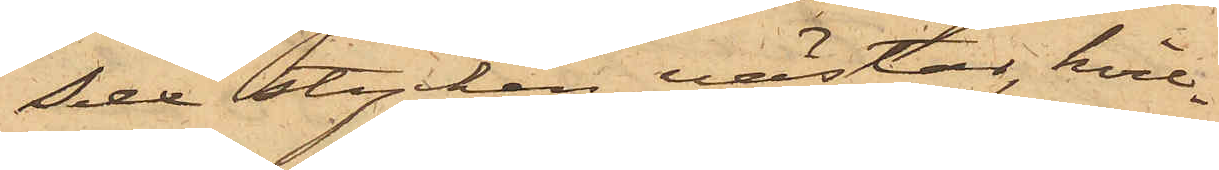Sex stycken västar, hvil¬
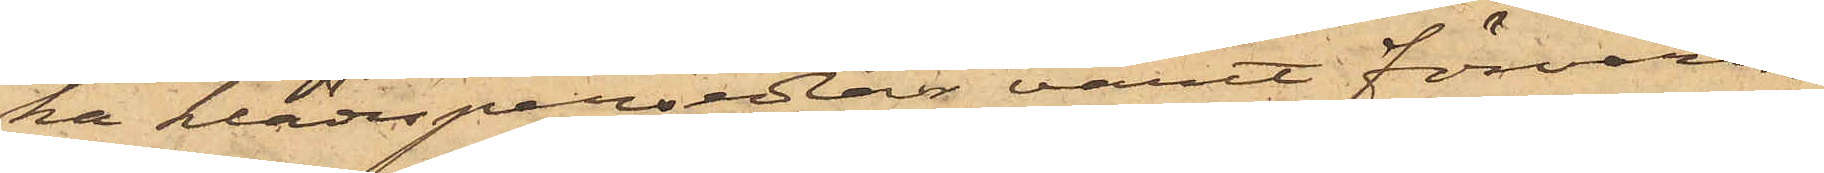ka klädespersedlar varit förvarade
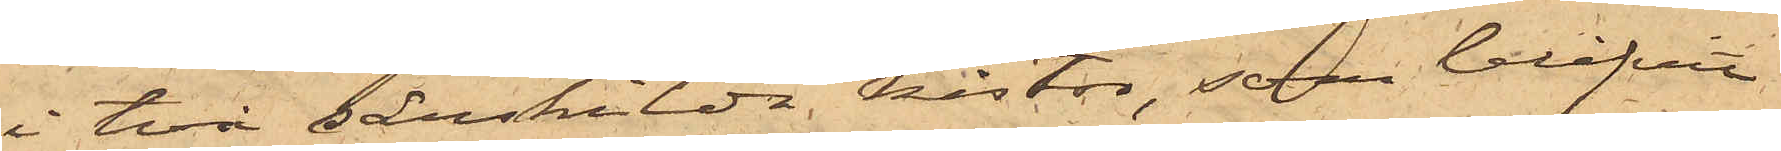i två särskilda kistor, som blifvit
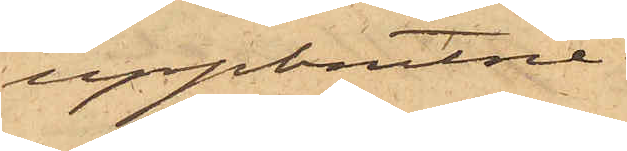uppbrutne.
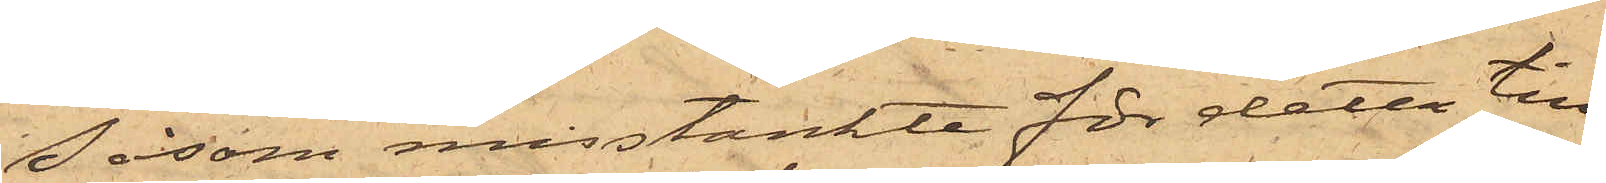Såsom misstänkte för detta till¬
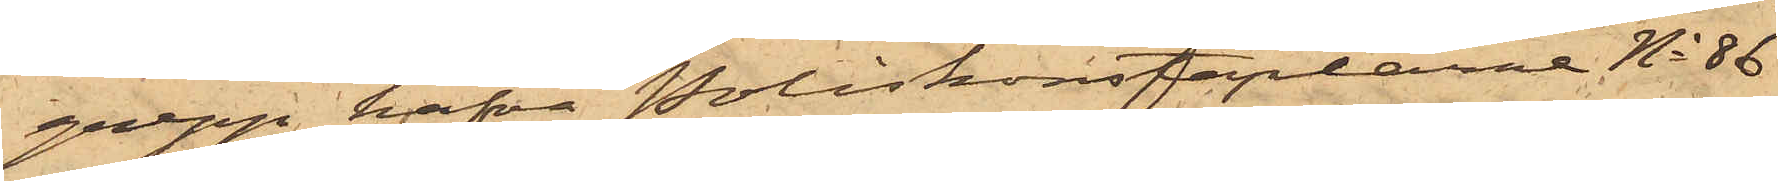grepp hafva Poliskonstaplarne No 86
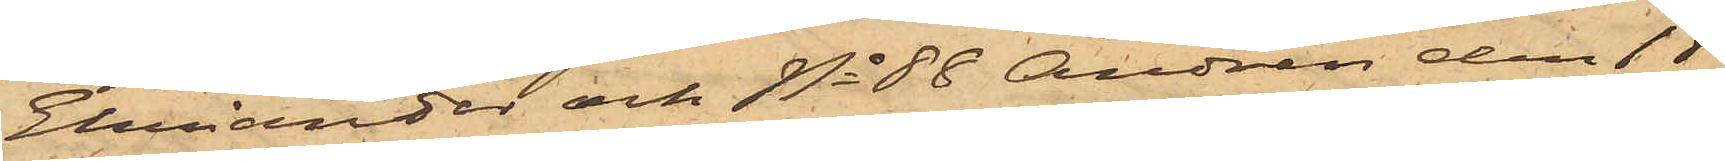Ehriander och No 88 Andrén den 18
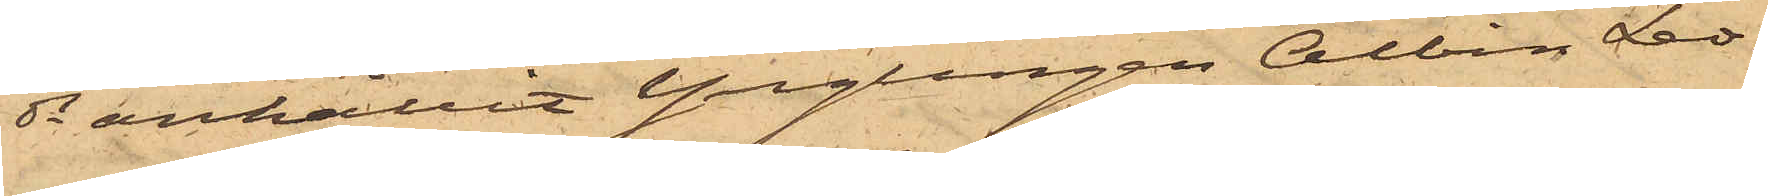ds anhållit Ynglingen Albin Leo¬
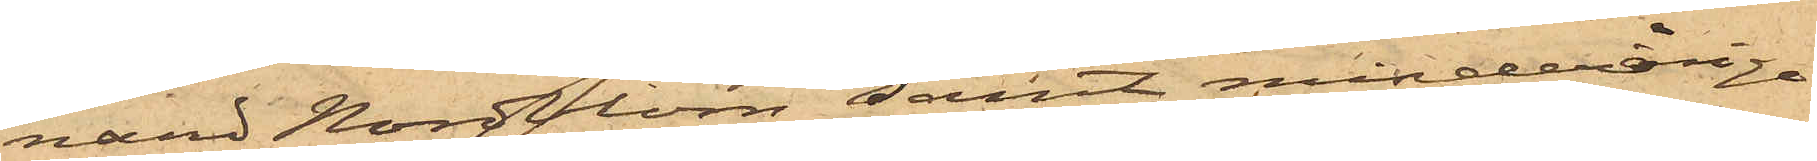nard Nordblom; samt minderåriga¬
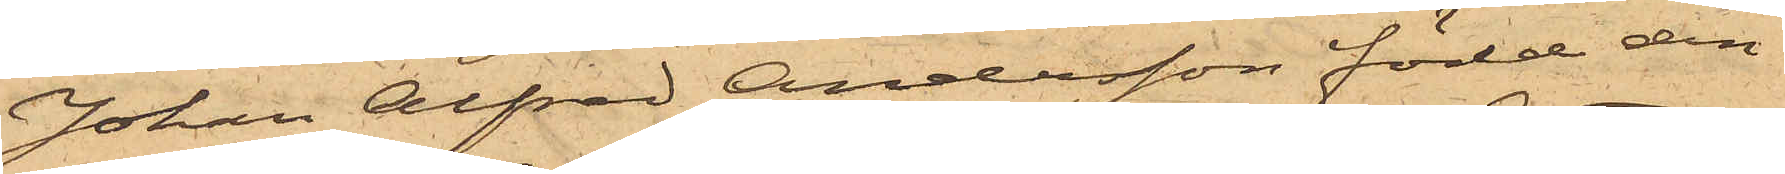Johan Alfred Andersson född den
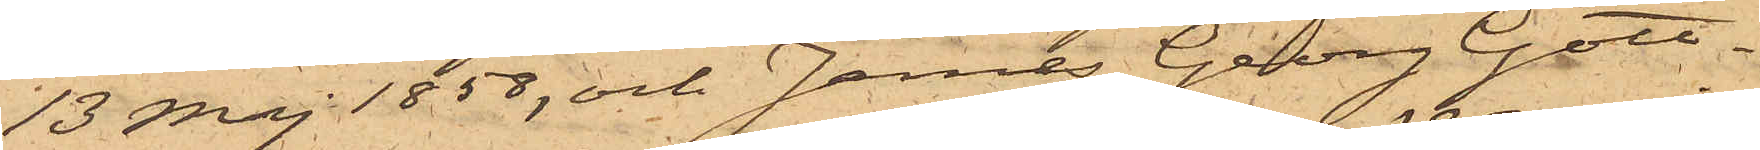13 Maj 1858, och James Georg Gott¬
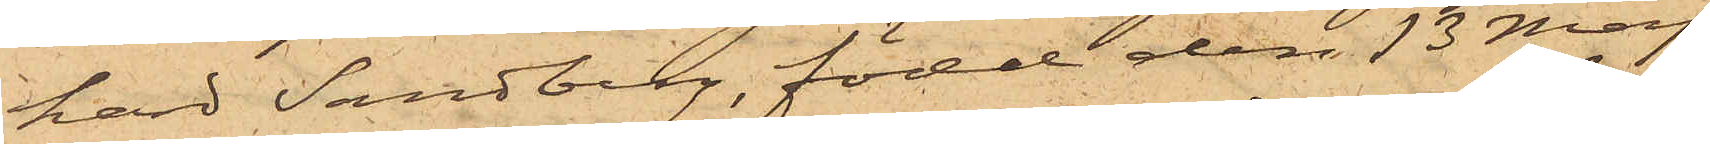hard Sandberg, född den 13 Maj
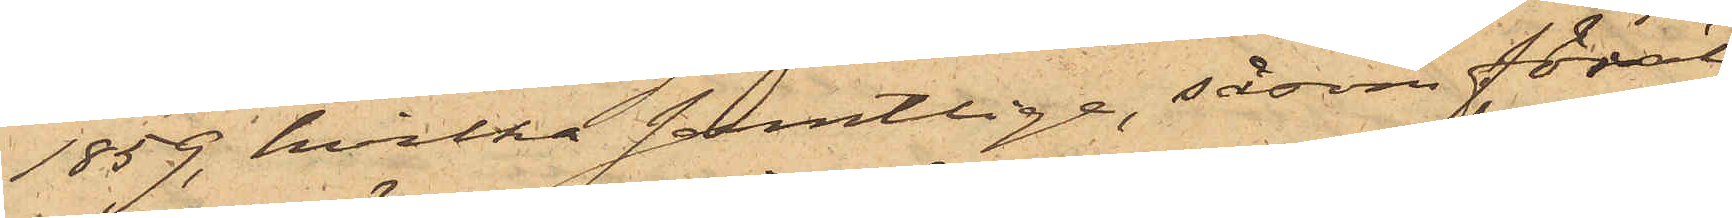1859, hvilka samtlige, såsom föräl¬
